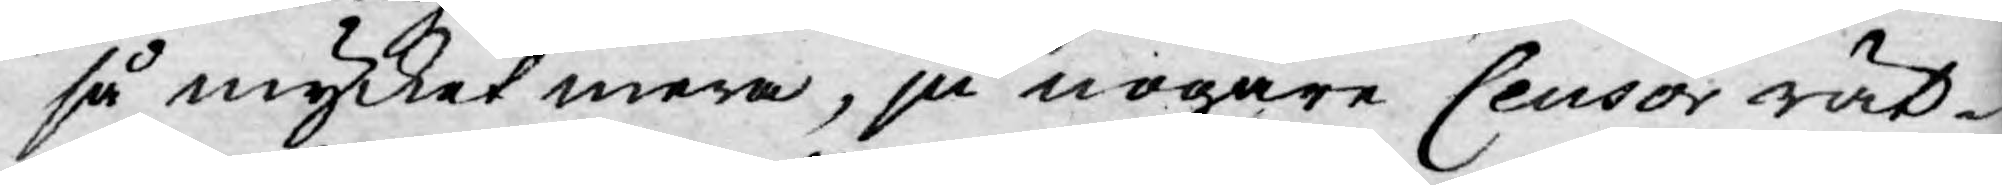så mycket mera, ju nogare Censor rät¬
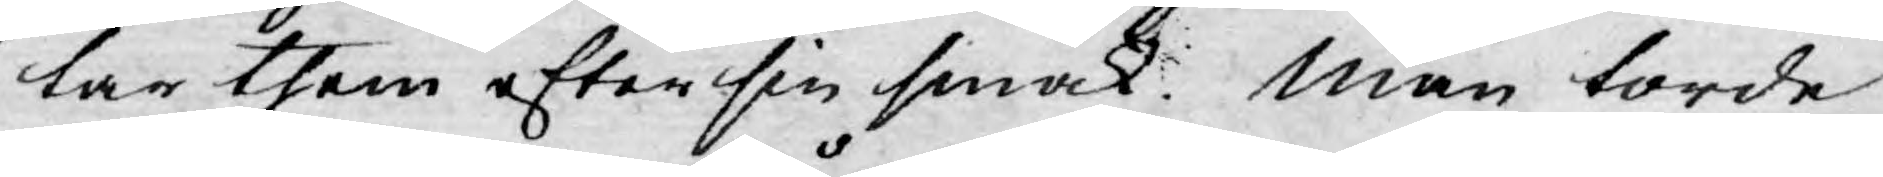tar them efter sin smak. Man torde
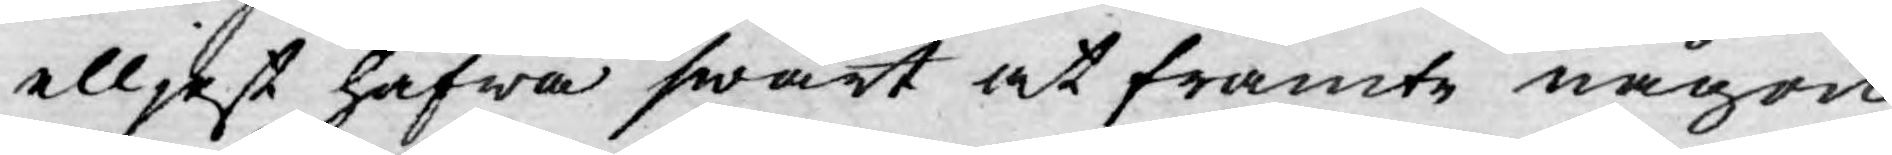elljest hafwa swårt at framte någon
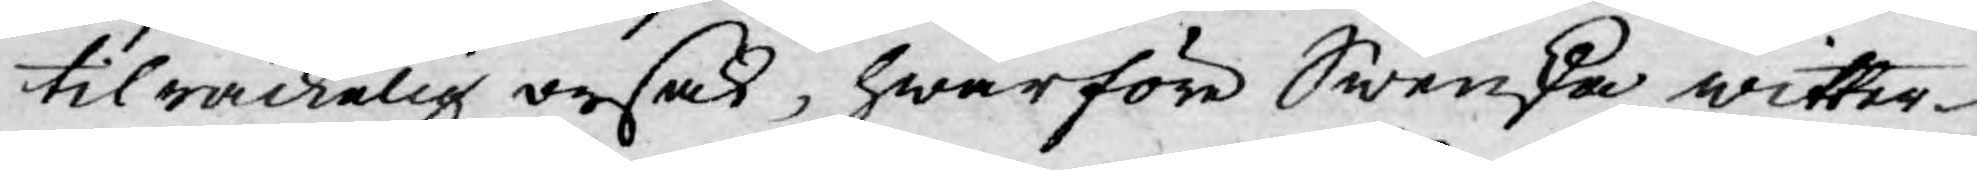tilräckelig orsak, hwarföre Swenska witter¬
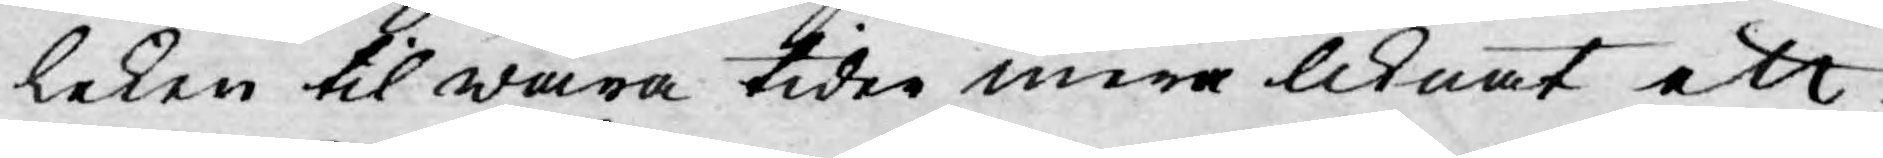leken til wåra tider mera liknat ett
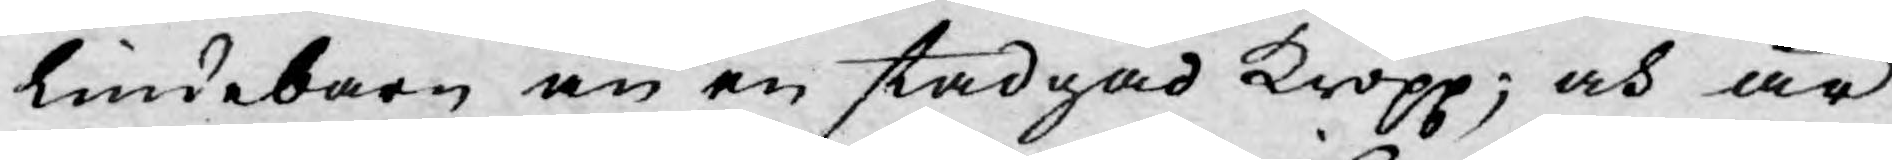Lindebarn än en stadgad Kropp; och är
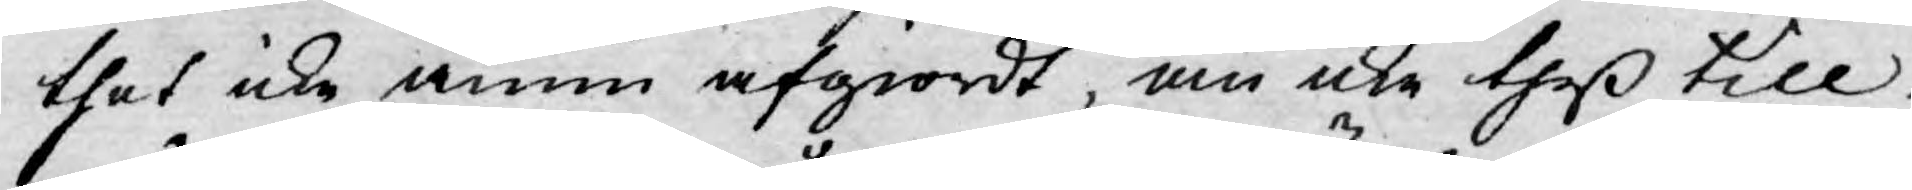thet icke ännu afgiordt, om icke theß till¬
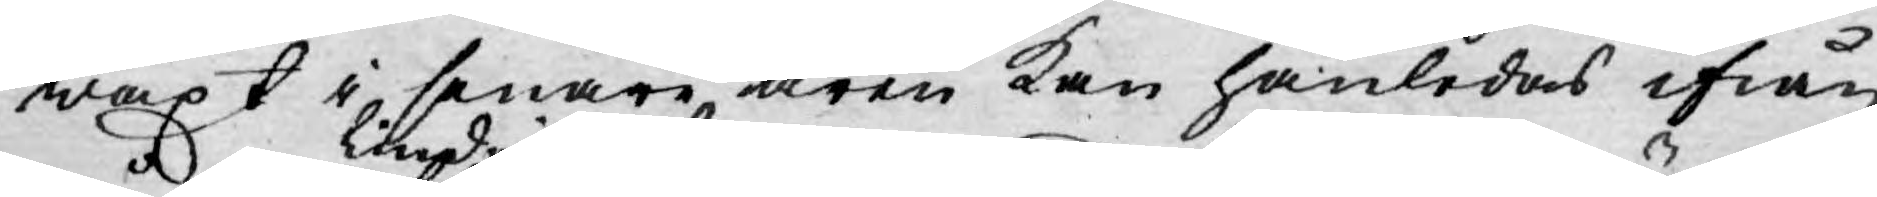wäxt i senare åren kan hänledas ifrån
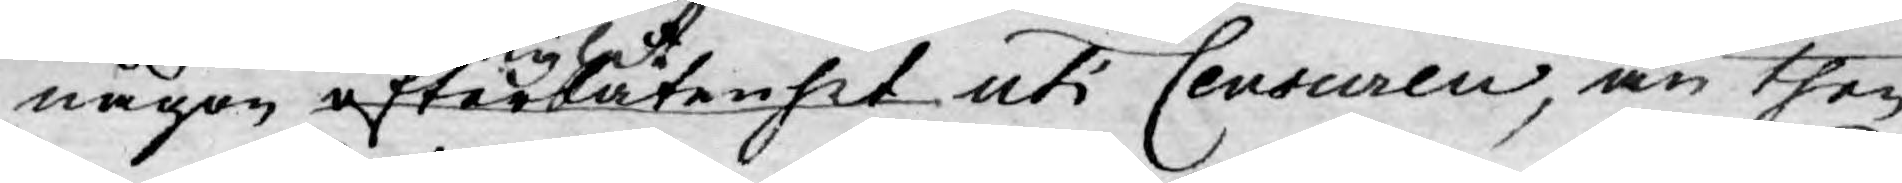någon lindrighet efterlåtenhet uti Censuren, än then
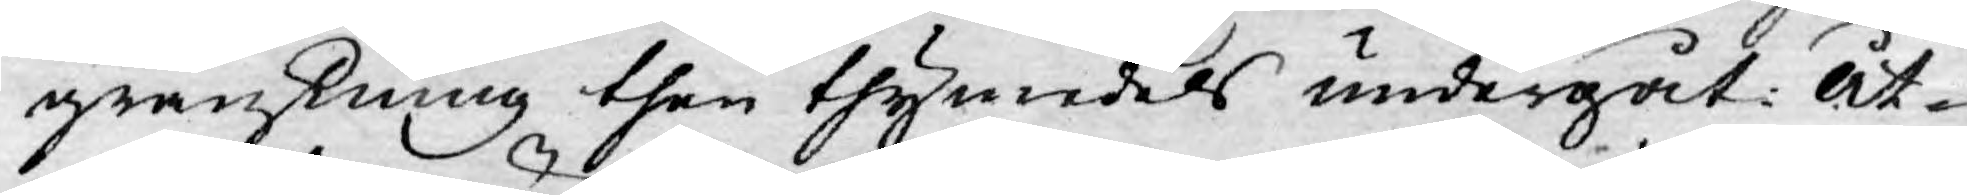granskning then thymedels undergåt. Åt¬
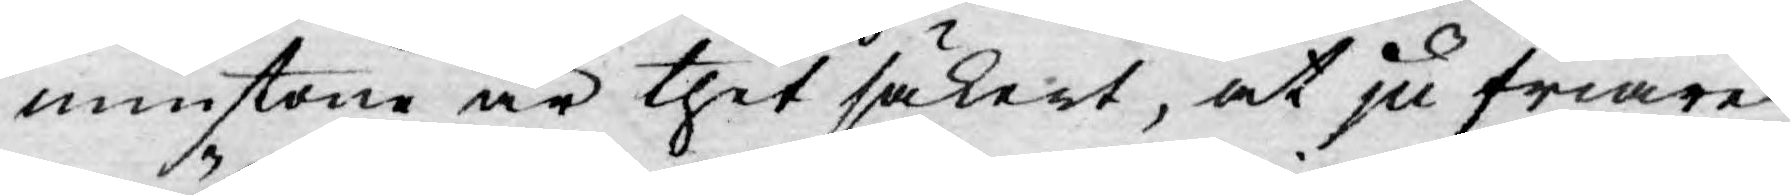minstone är thet säkert, at ju friare
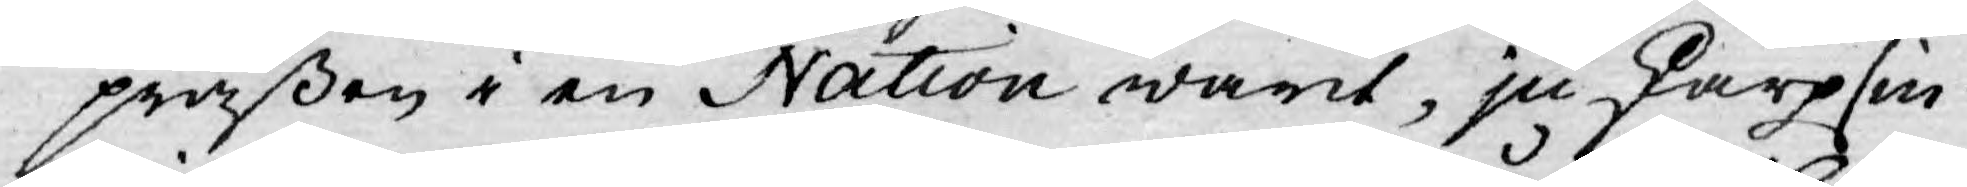präßen i en Nation warit, ju skarpsin¬
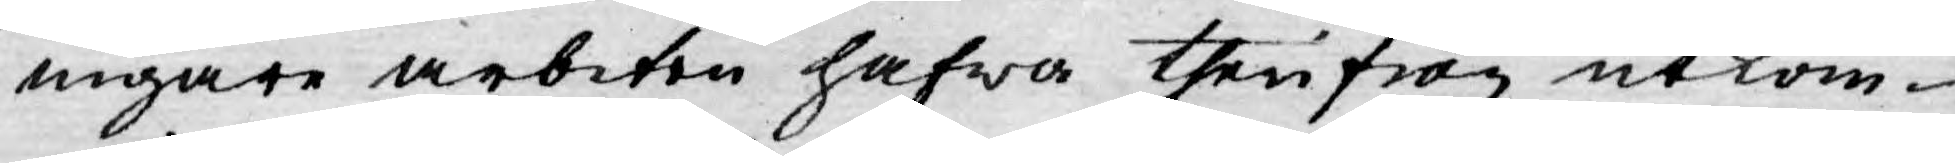nigare arbeten hafwa therifrån utkom¬
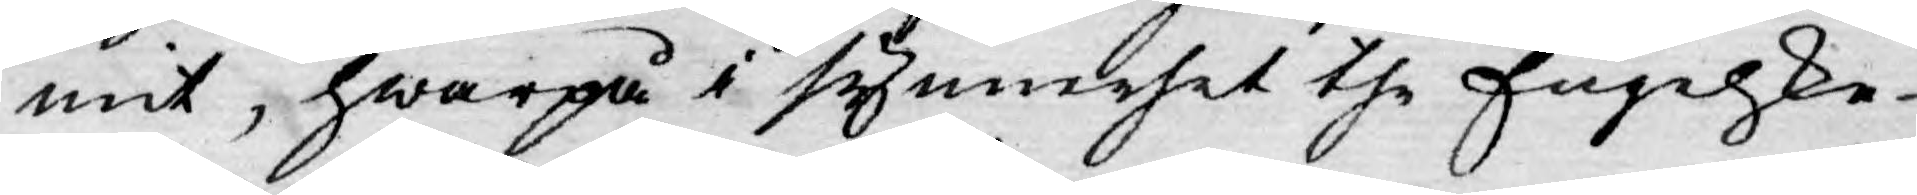mit, hwarpå i synnerhet the Engelske
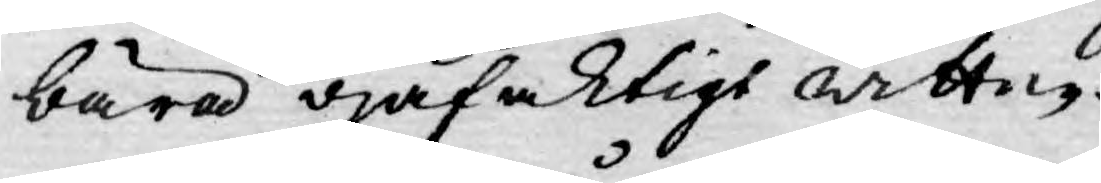bära ojäfaktigt wittne.
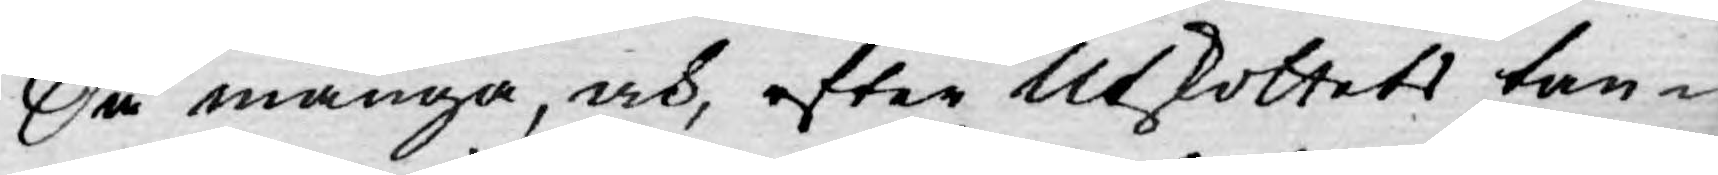Då många, och, efter Utskottets tan¬
